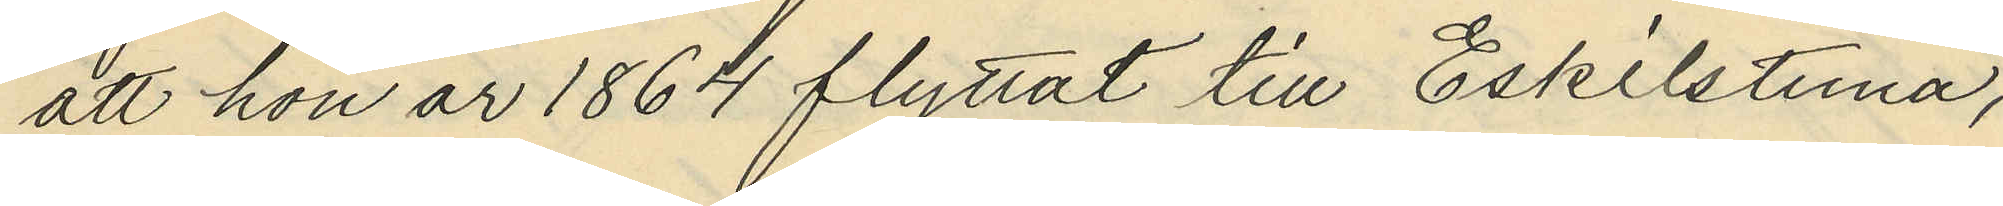att hon år 1864 flyttat till Eskilstuna,
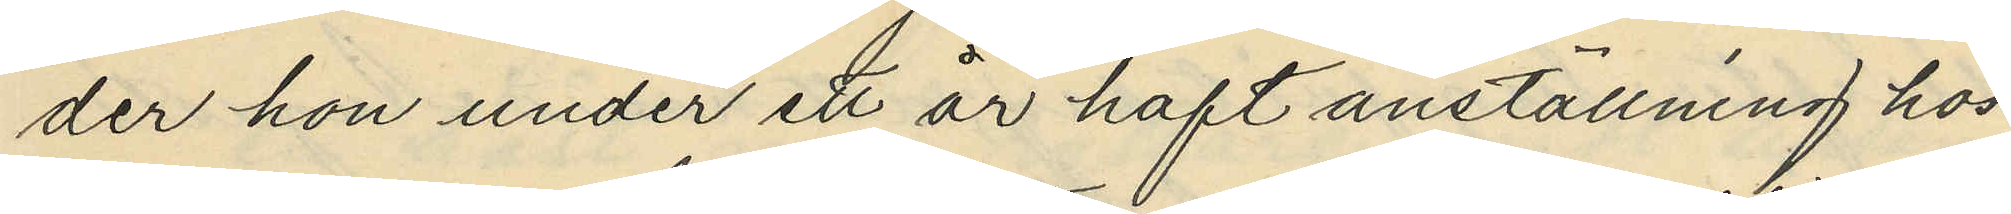der hon under ett är haft anställning hos
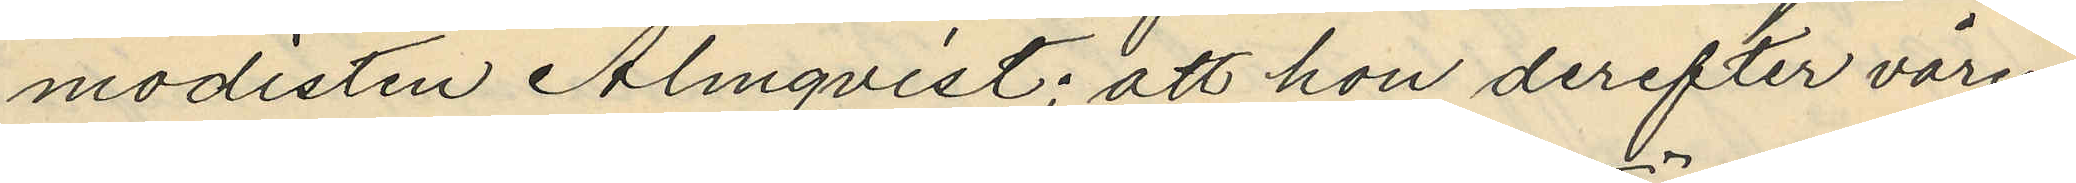modisten Almqvist; att hon derefter våren
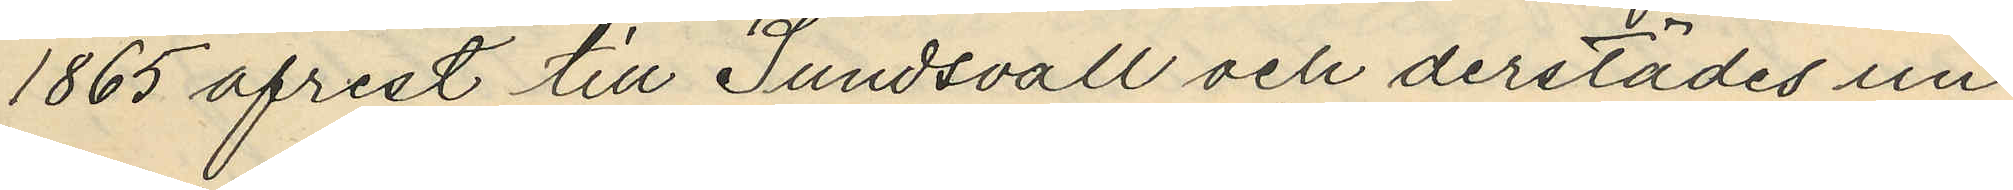1865 afrest till Sundsvall och derstädes un¬
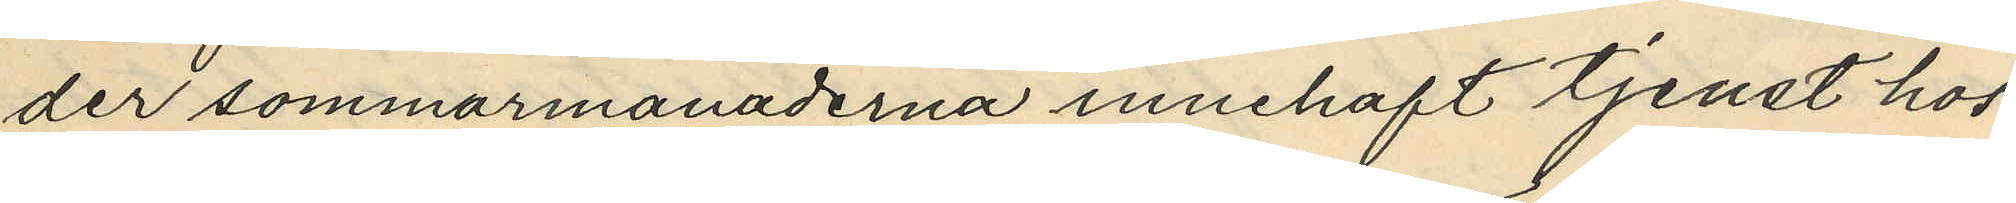der sommarmånaderna innehaft tjenst hos
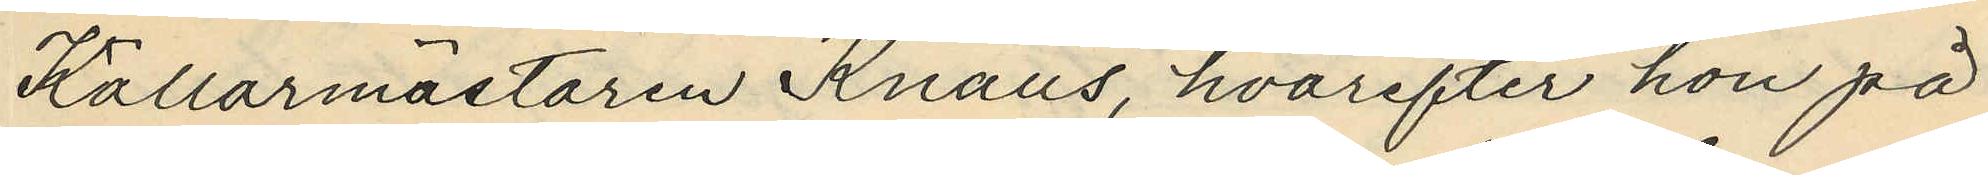Källarmästaren Knaus, hvarefter hon på
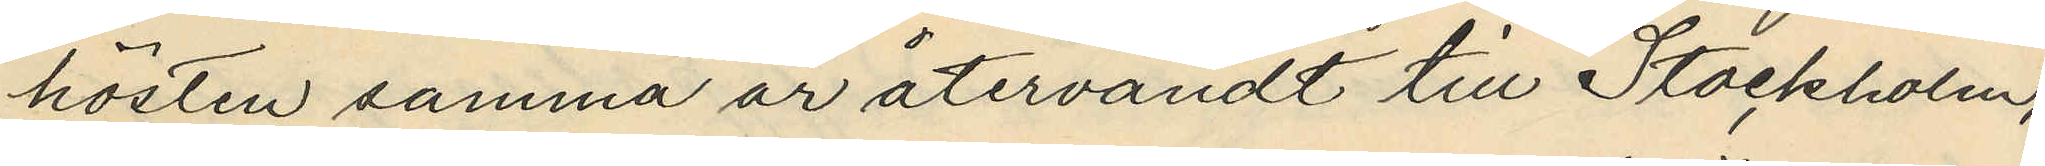hösten samma är återvändt till Stockholm,
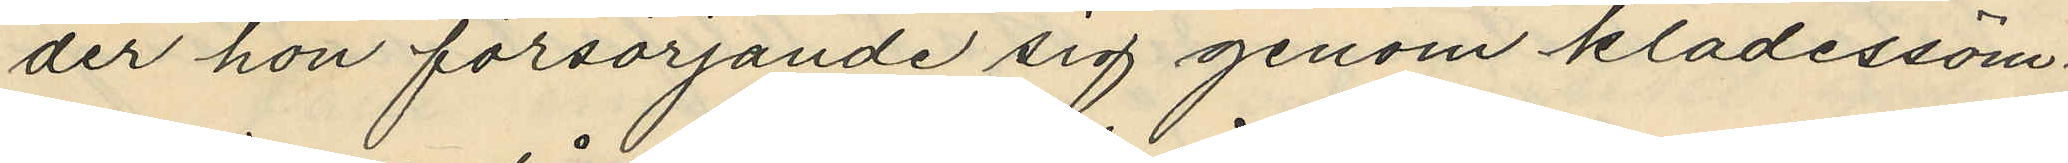der hon försörjande sig genom klädessöm¬
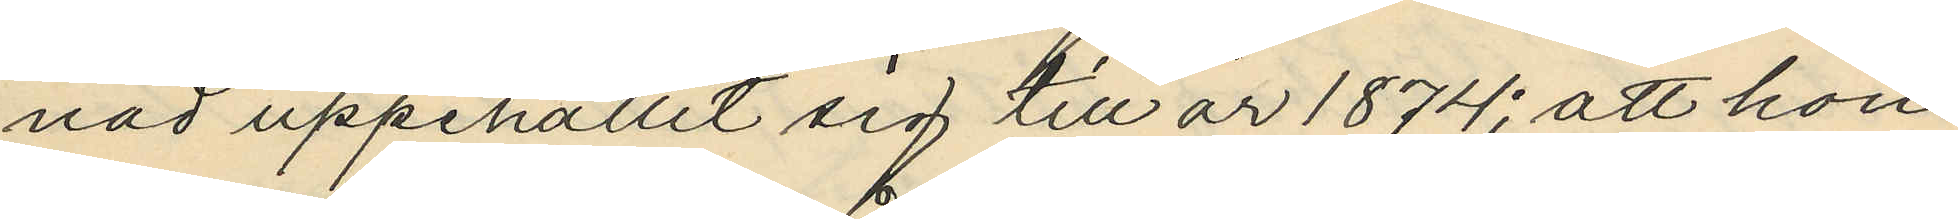nad uppehållit sig till år 1874; att hon
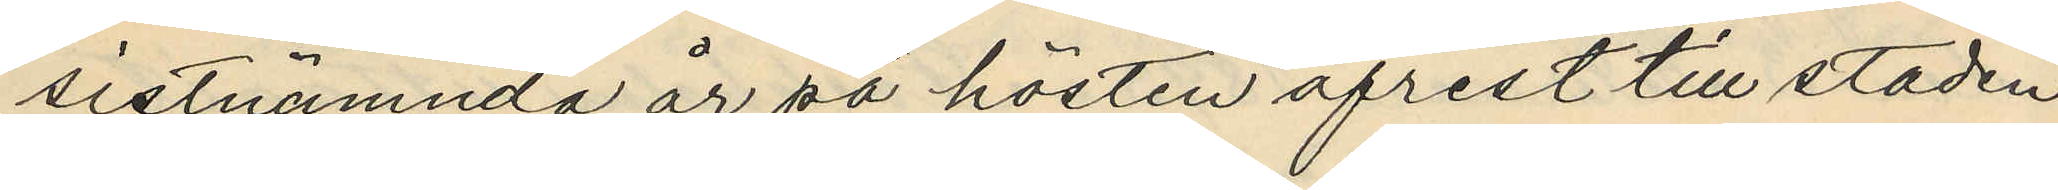sistnämnda år på hösten afrest till staden
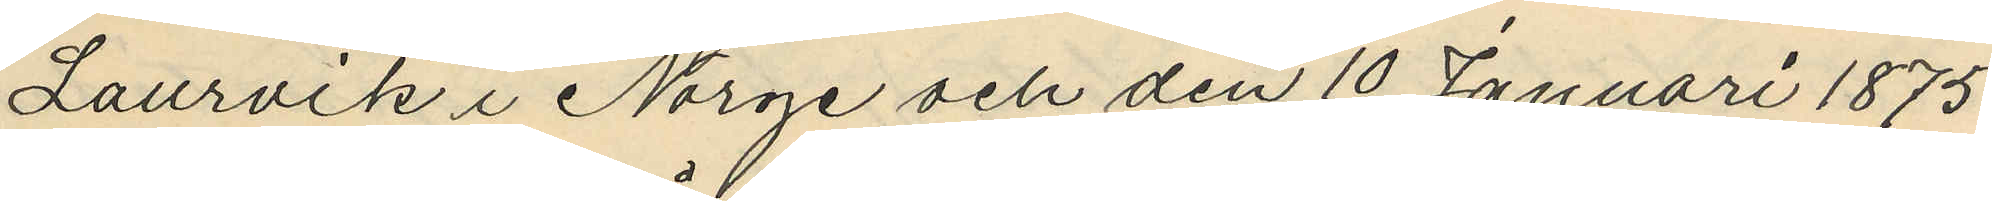Laurvik i Norge och den 10 Januari 1875.
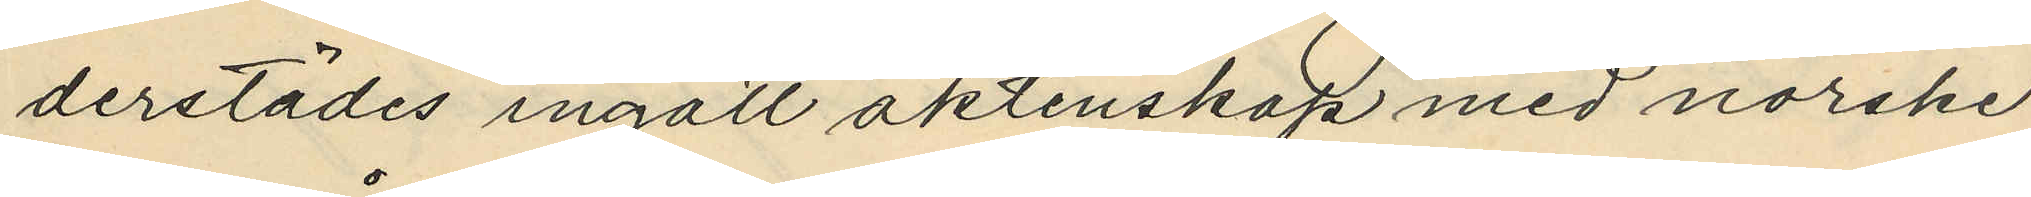derstädes ingått äktenskap med norske
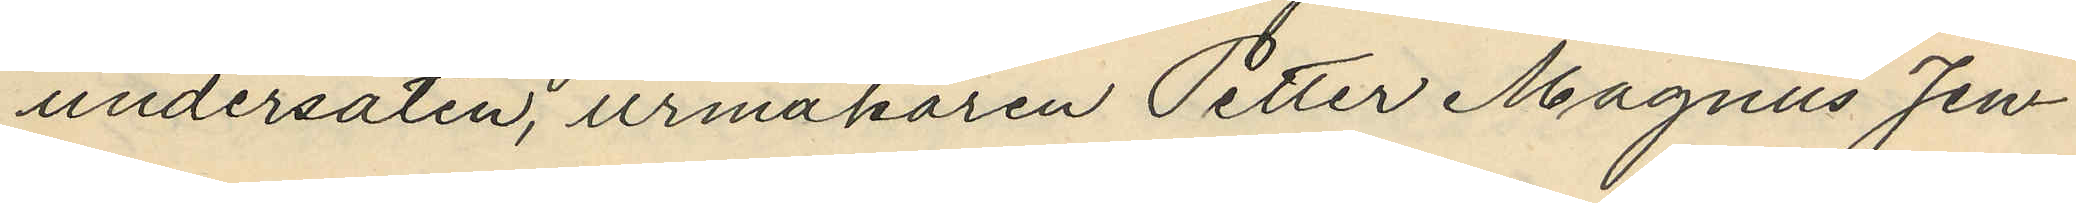undersåten, urmakaren Petter Magnus Jen¬
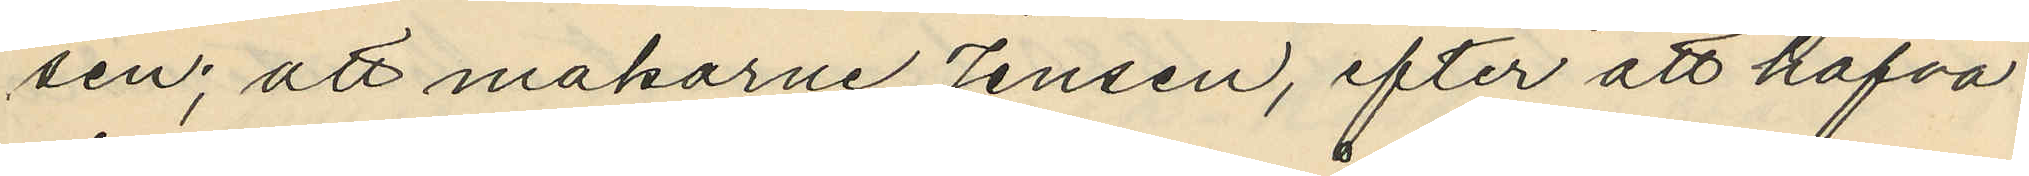sen; att makarne Jensen, efter att hafva
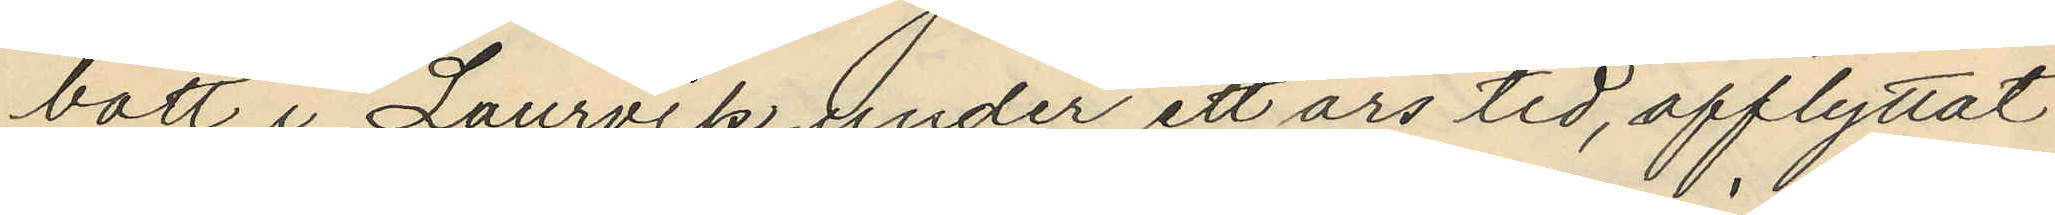bott i Laurvik under ett års tid, afflyttat
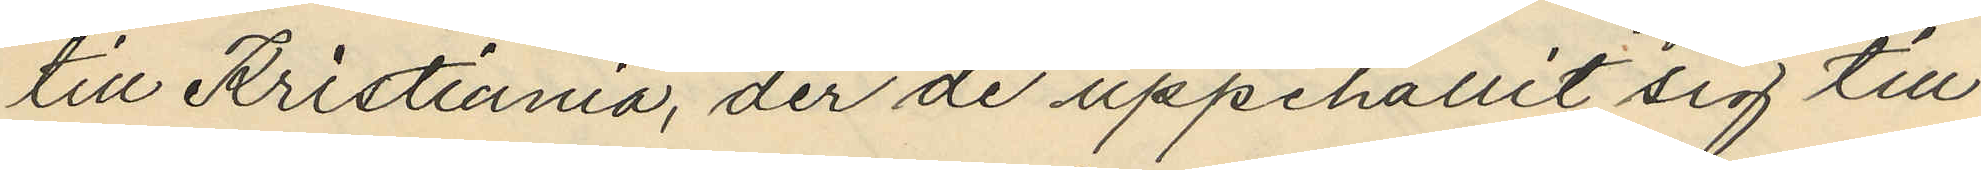till Kristiania, der de uppehållit sig till
